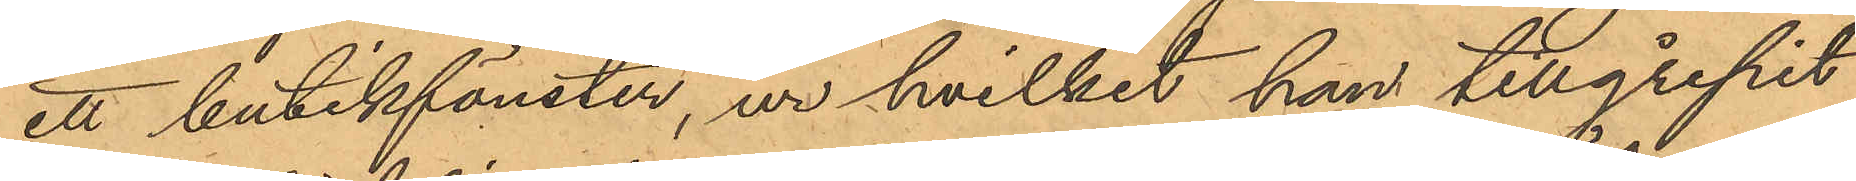ett butikfönster, ur hvilket han tillgripit
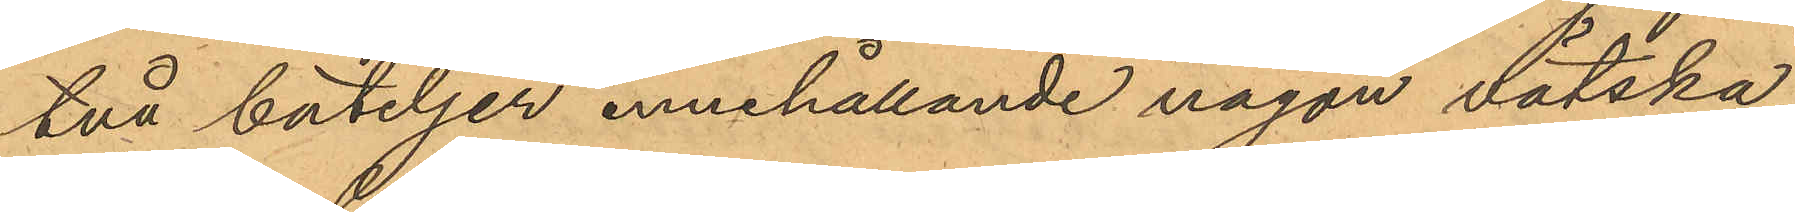två buteljer innehållande någon vätska,
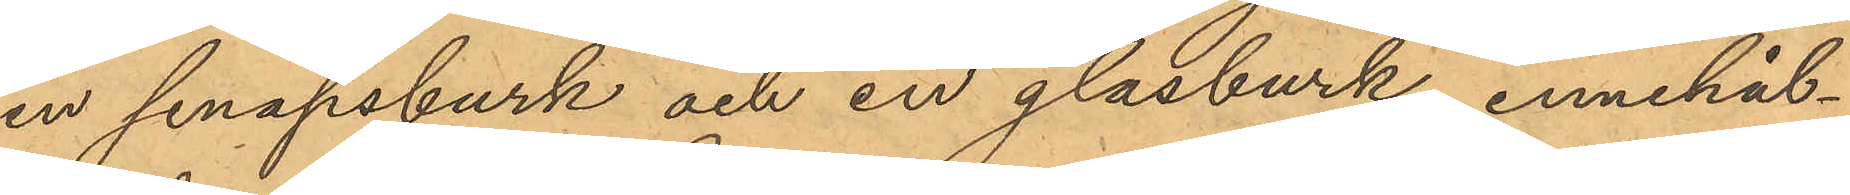en senapsburk och en glasburk, innehål¬
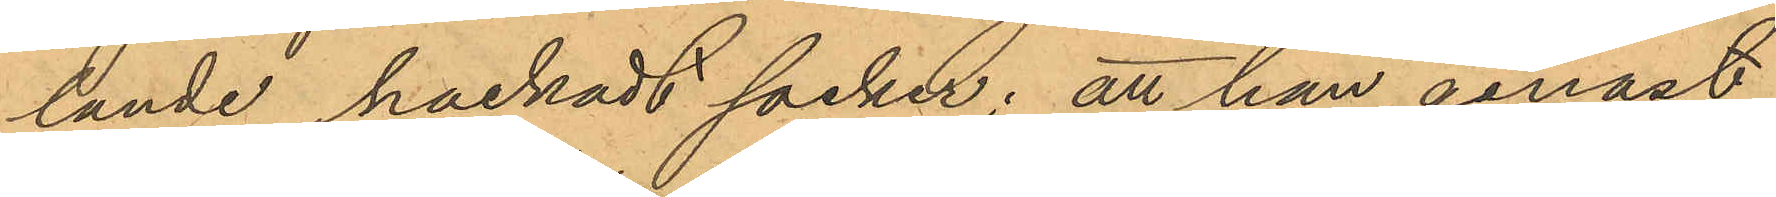lande hackadt socker; att han genast
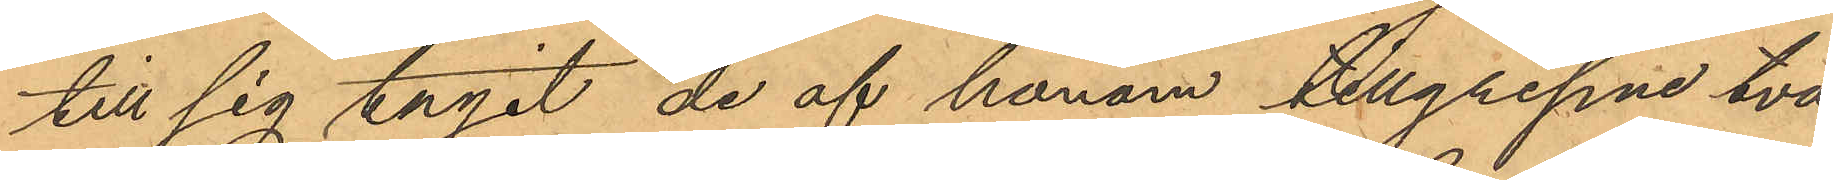till sig tagit de af honom tillgripne två
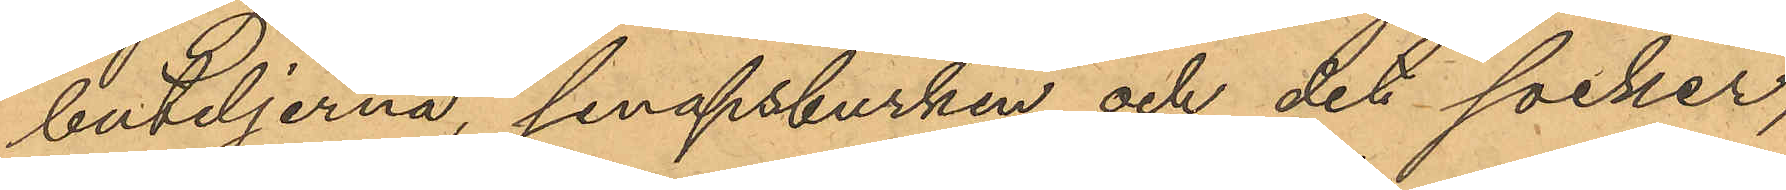buteljerna, senapsburken och det socker,
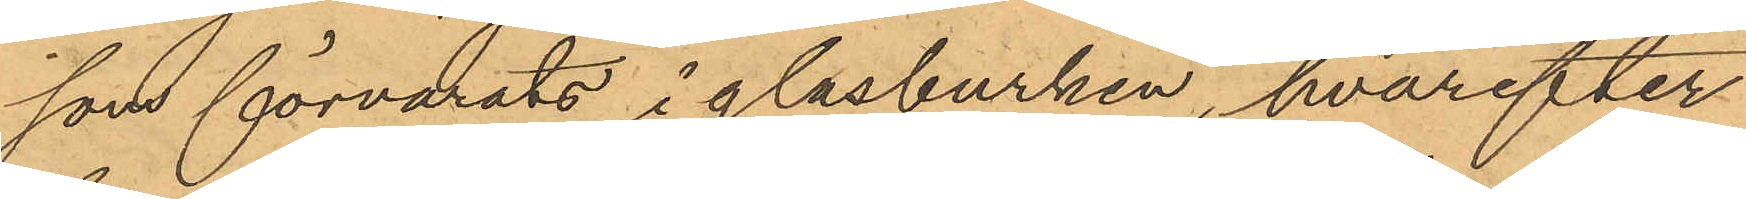som förvarats i glasburken, hvarefter
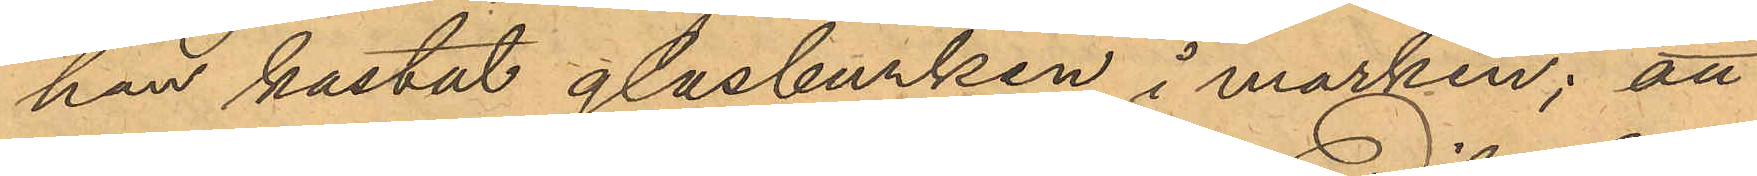han kastat glasburken i marken; att
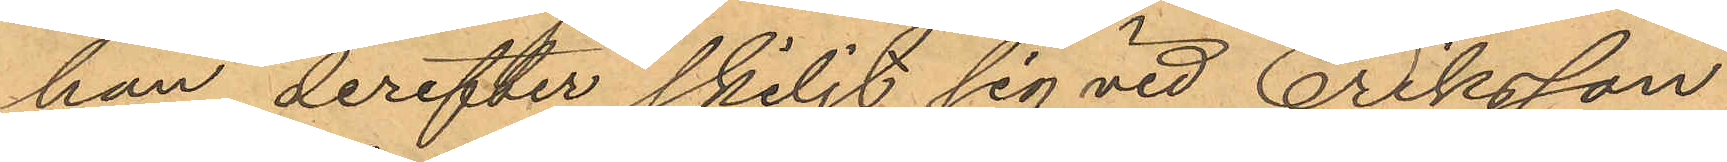han derefter skiljt sig vid Eriksson
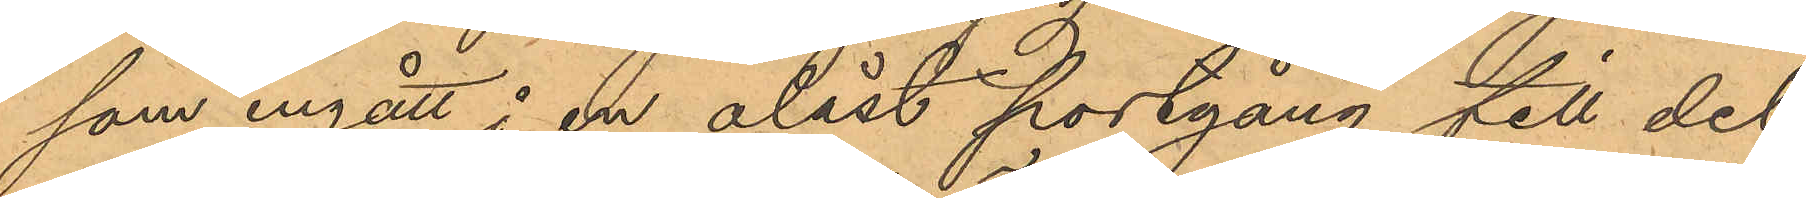som ingått i en olåst portgång till det
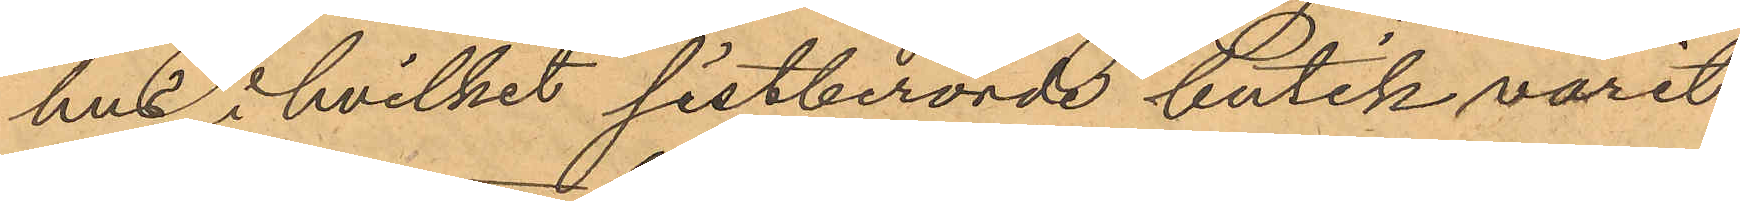hus, i hvilket sistberörde butik varit
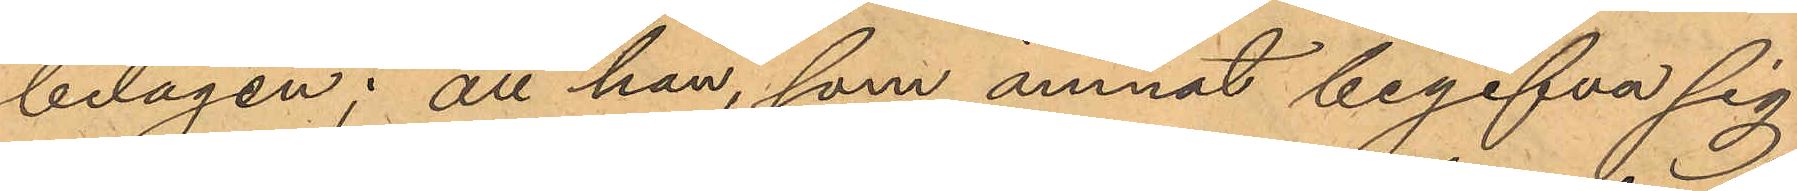belägen; att han, som ämnat begifva sig
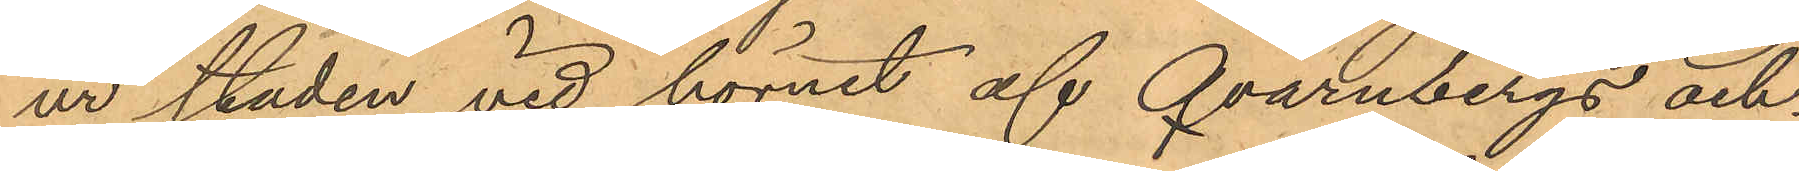ur staden vid hörnet af Qvarnbergs och
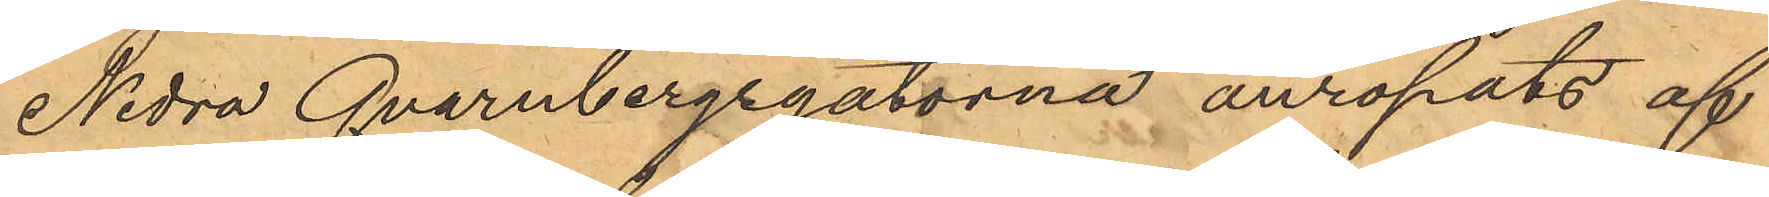Nedra Qvarnbergsgatorna anropats af
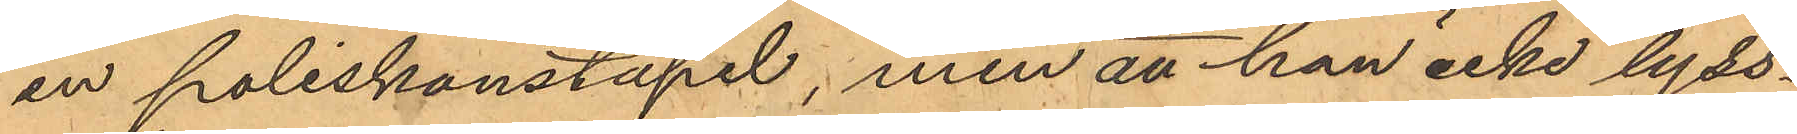en poliskonstapel; men att han icke lyss¬
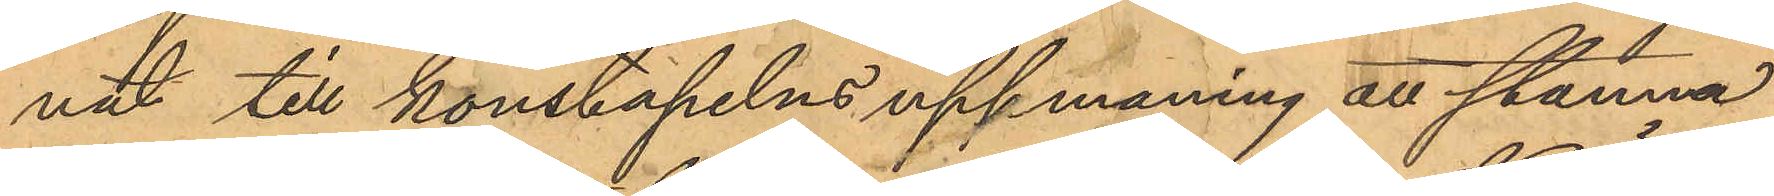nat till konstapelns uppmaning att stanna,
